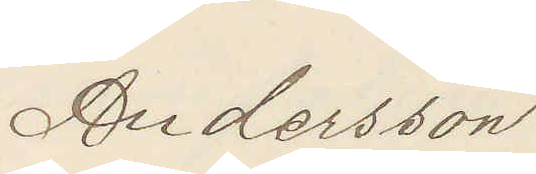Andersson
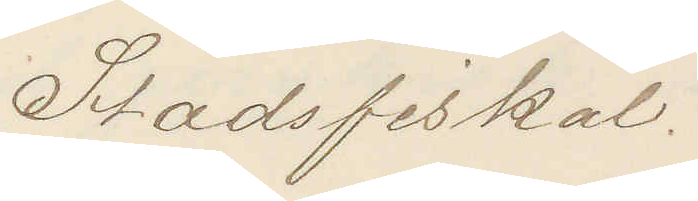Stadsfiskal.
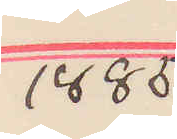1885
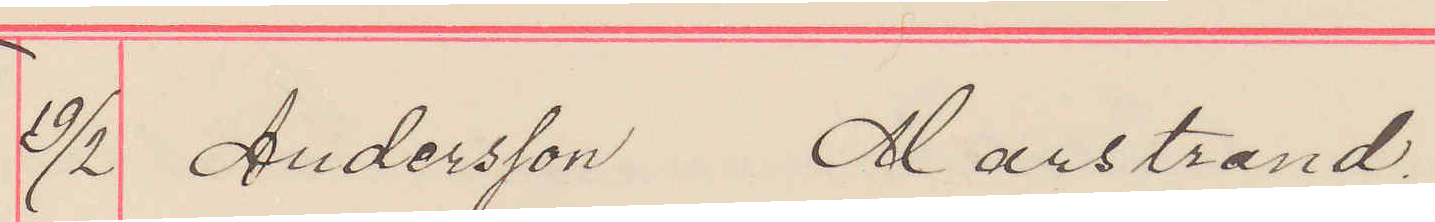19/2 Andersson Marstrand.
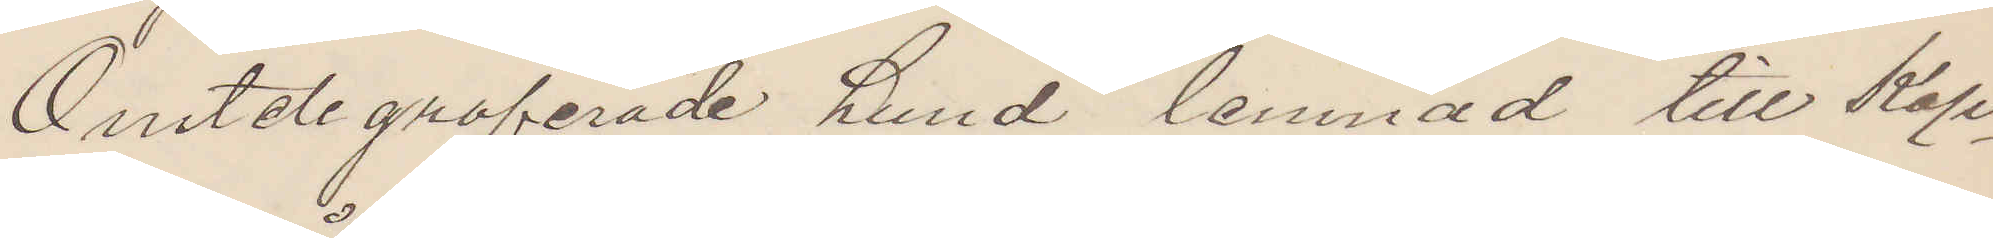Omtelegraferade hund lemnad till Kap¬
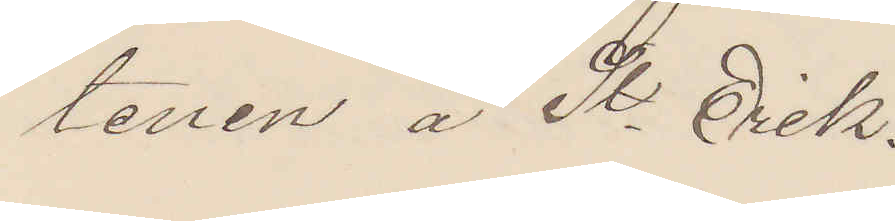tenen å St Erik.
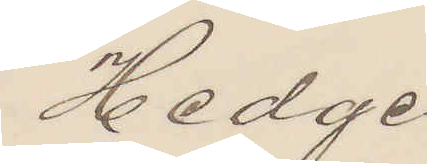Hedge
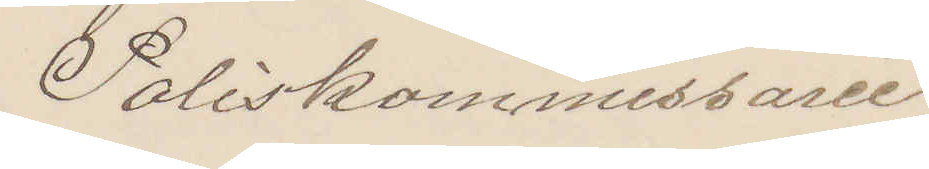Poliskommissarie
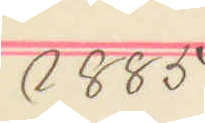1885
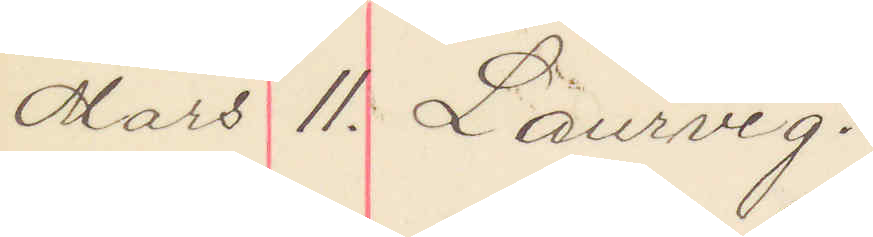Mars 11. Laurvig.
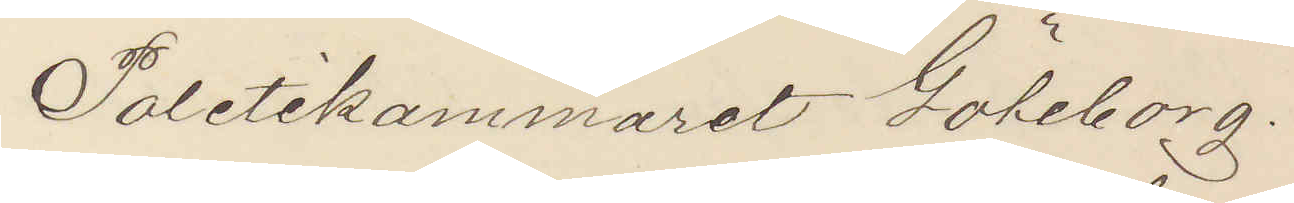Politikammeret Göteborg.
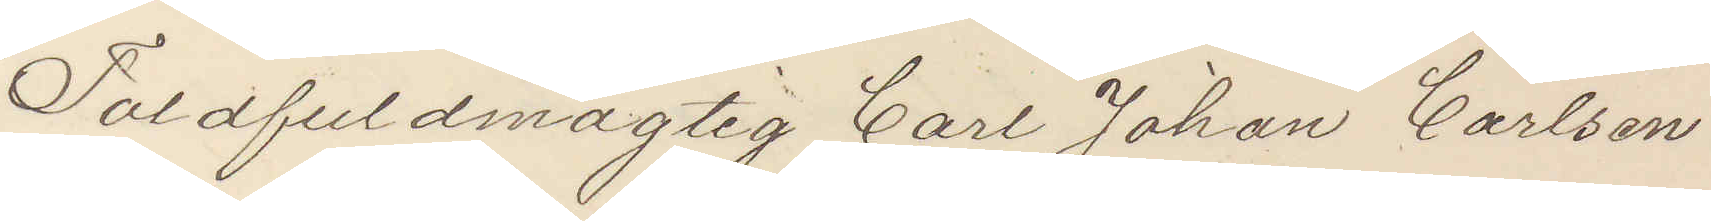Toldfuldmägtig Carl Johan Carlsson
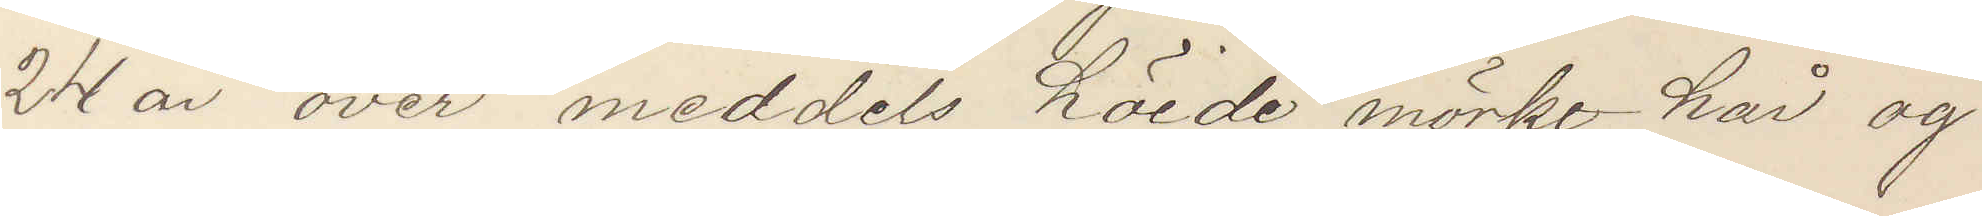24 år over meddels höide mörke hår og
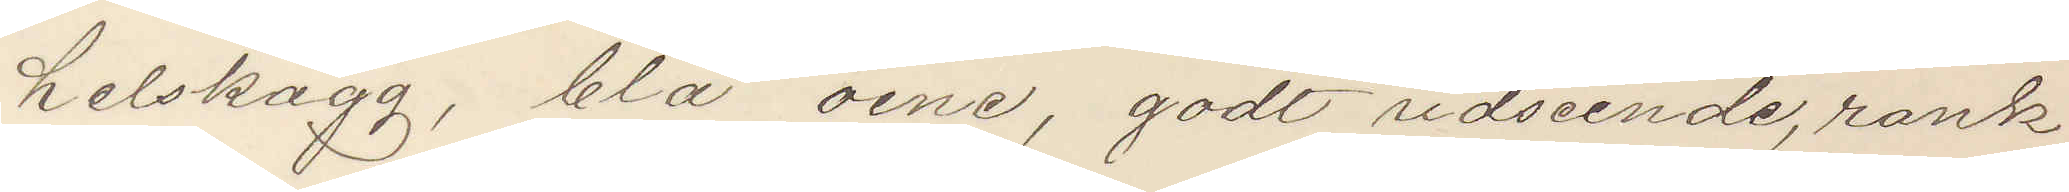helskägg, blå öine, godt udseende, rank
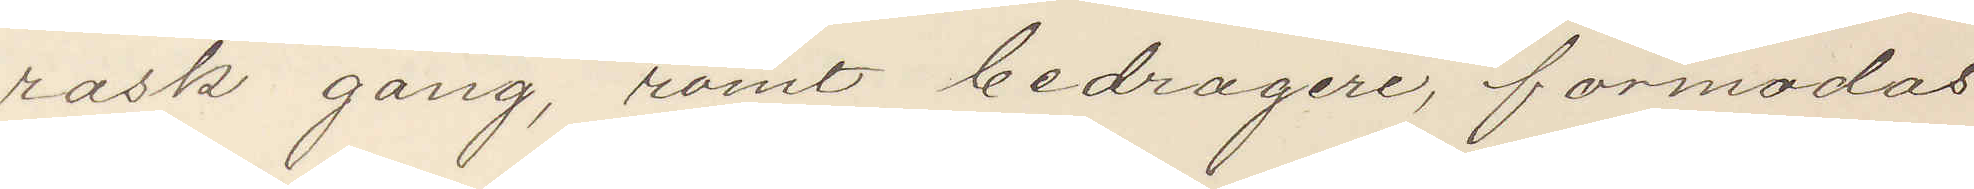rask gang, römt bedrageri, förmodas
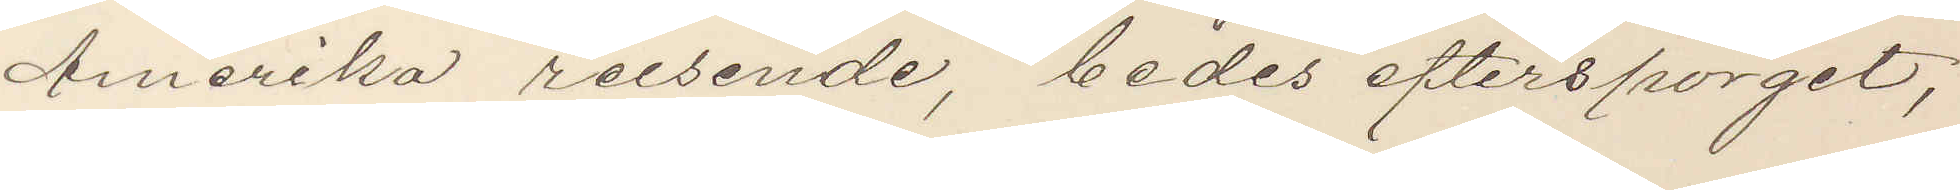Amerika reisende, bedes efterspörget,
